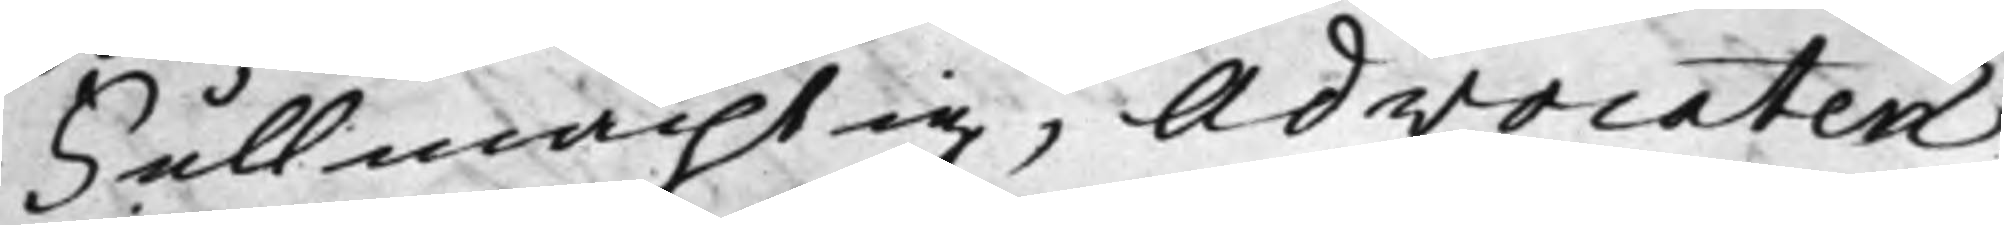Fullmächtig, Advocaten
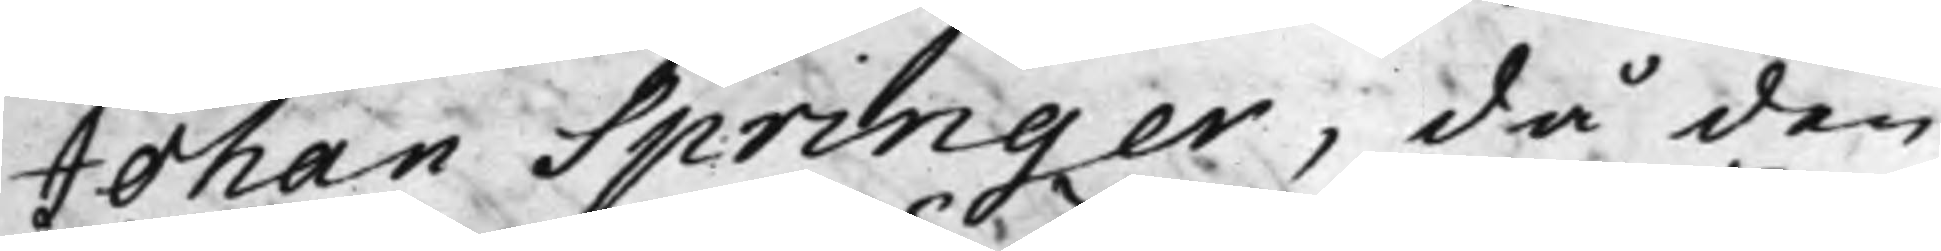Johan Springer, då den
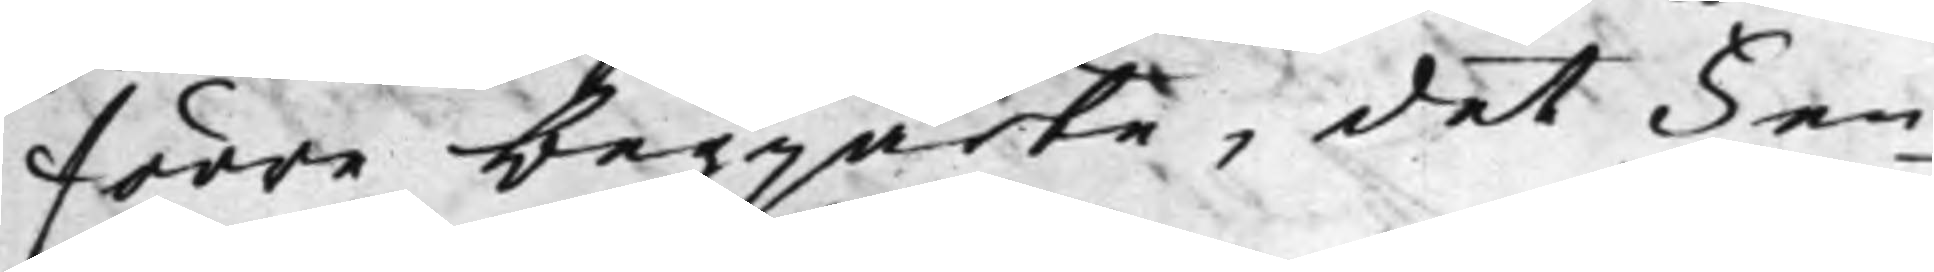förre begjärte, det Fen¬
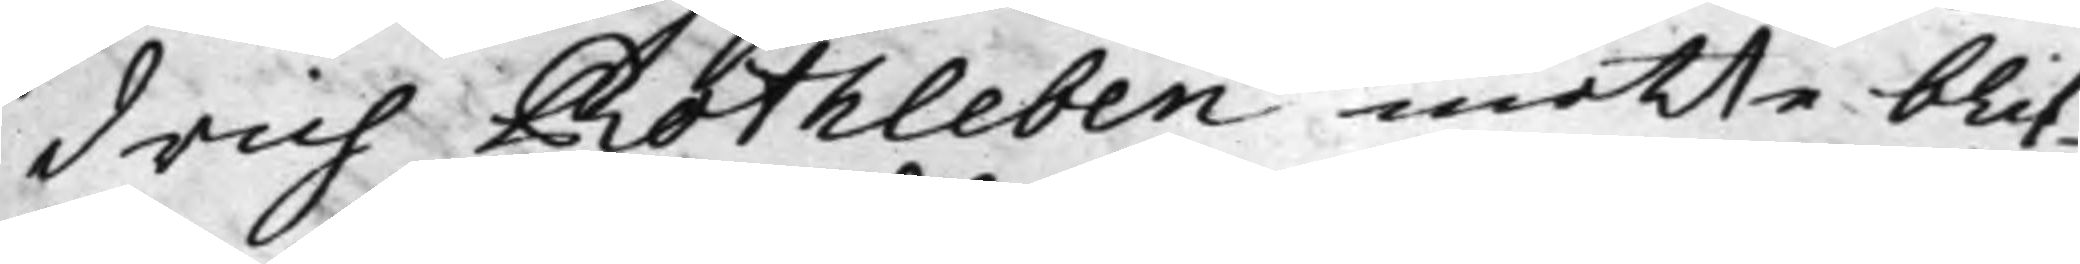drich Rothleben måtte blif¬
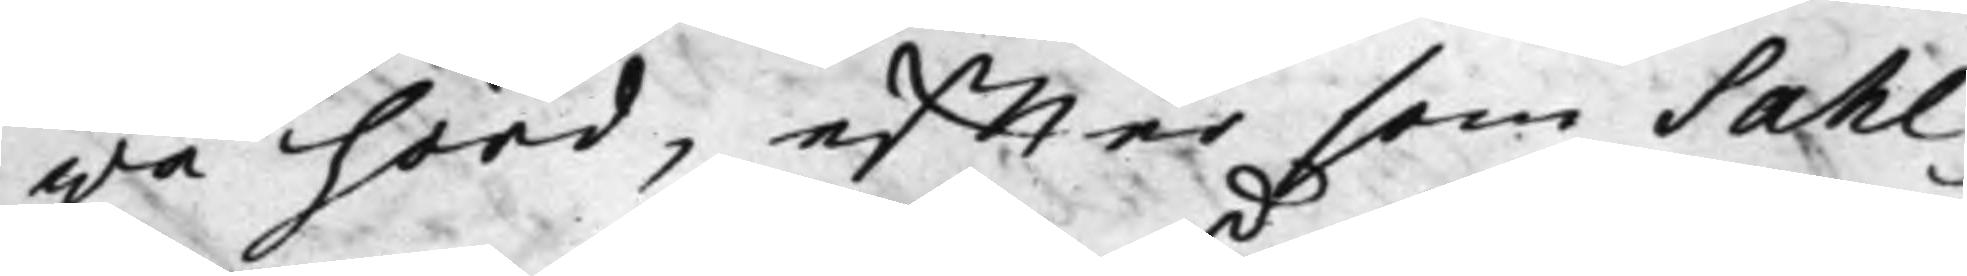wa hörd, effter som Sahl¬
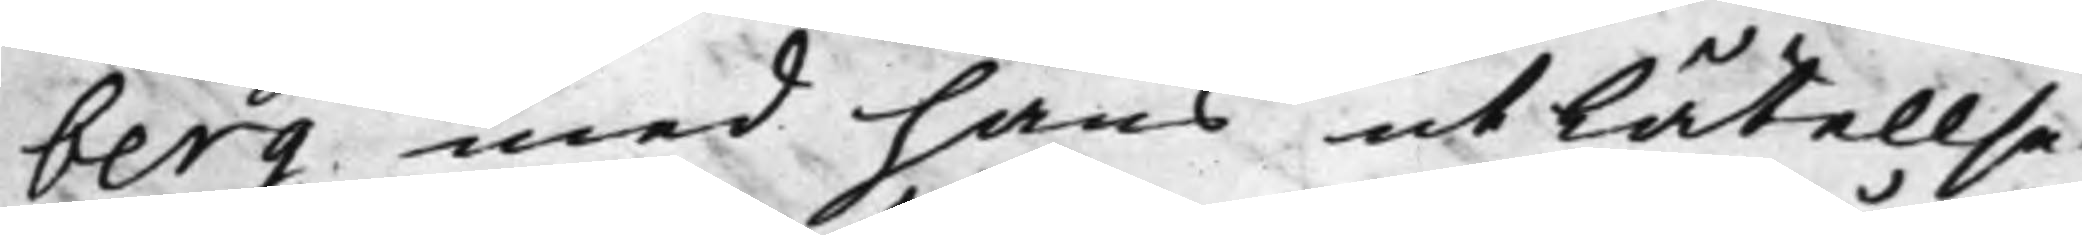berg med hans utlåtellse,
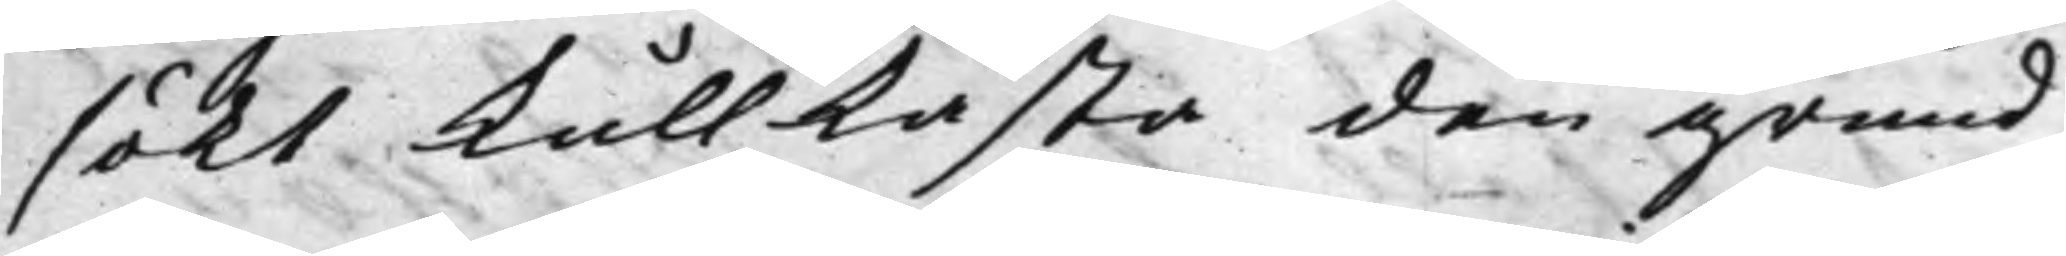sökt kullkasta den grund,
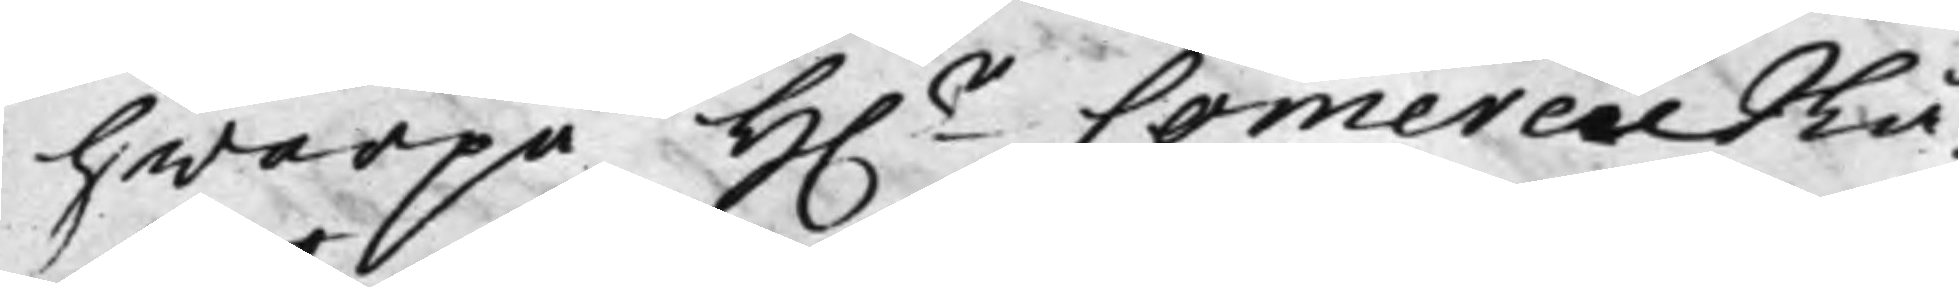hwarpå H.r CommercieRå¬
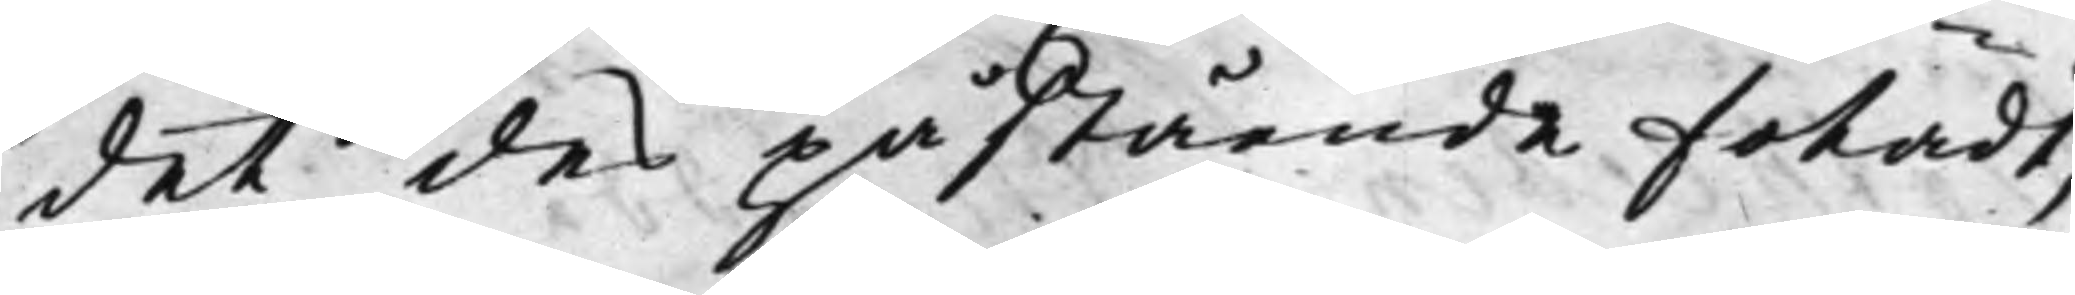det des påstående fotadt,
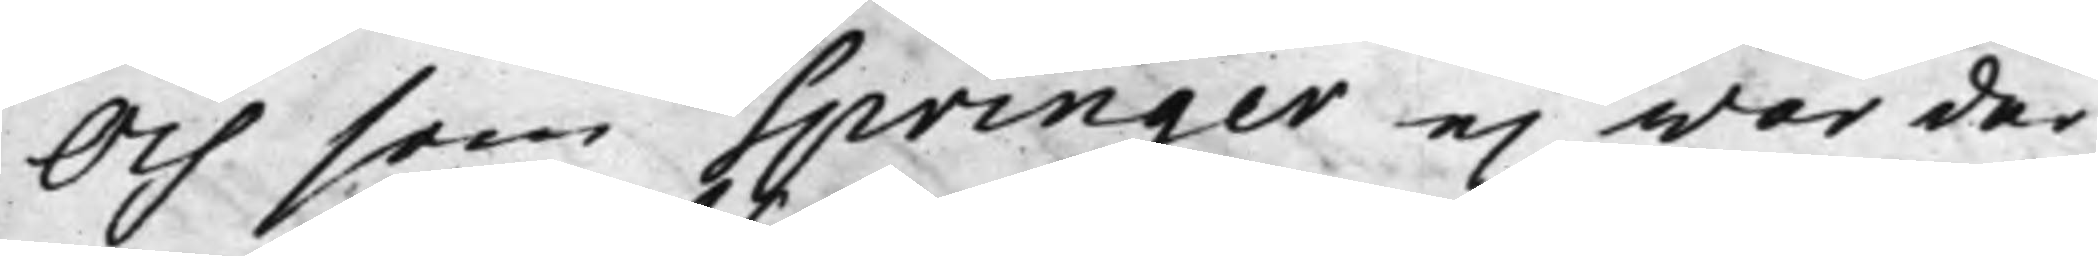Och som Springer ej war der¬
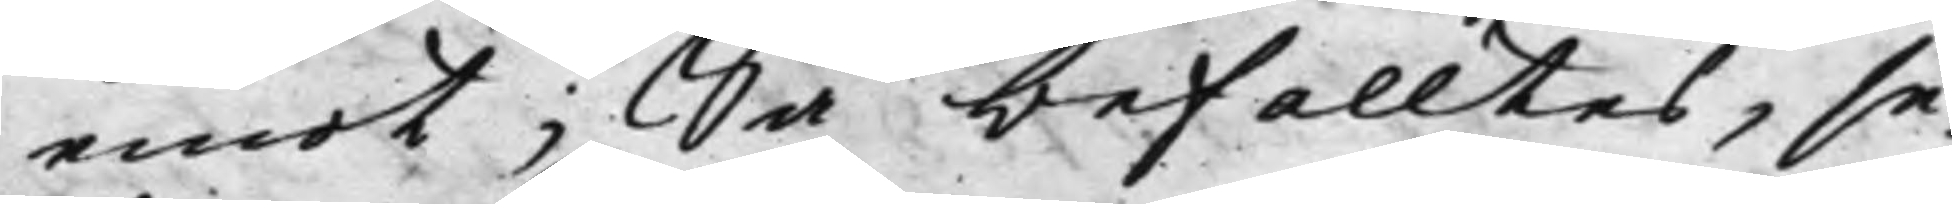emot; Så befalltes, se¬
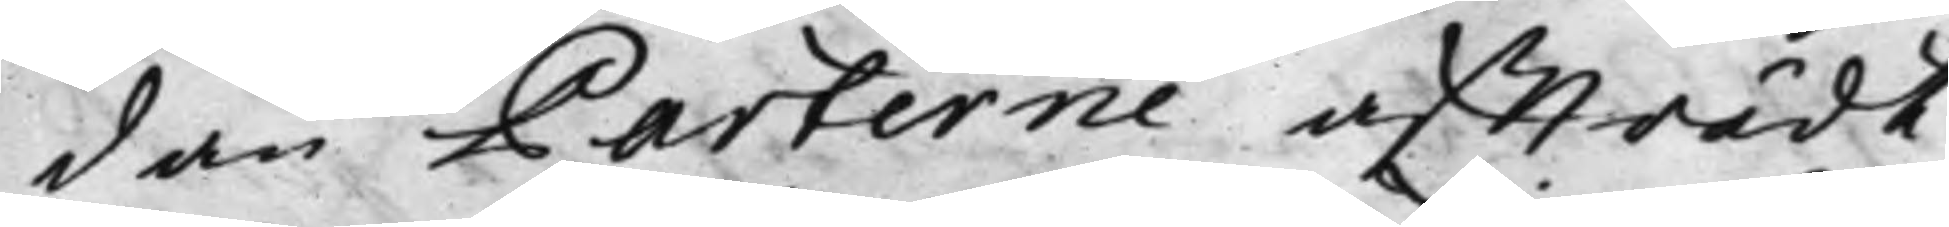dan Parterne afträdt,
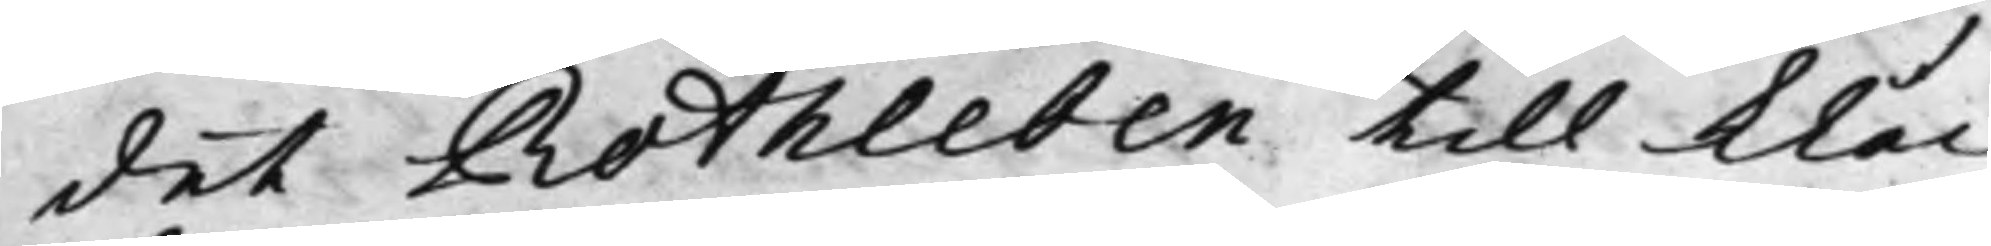det Rotheben till klåc¬
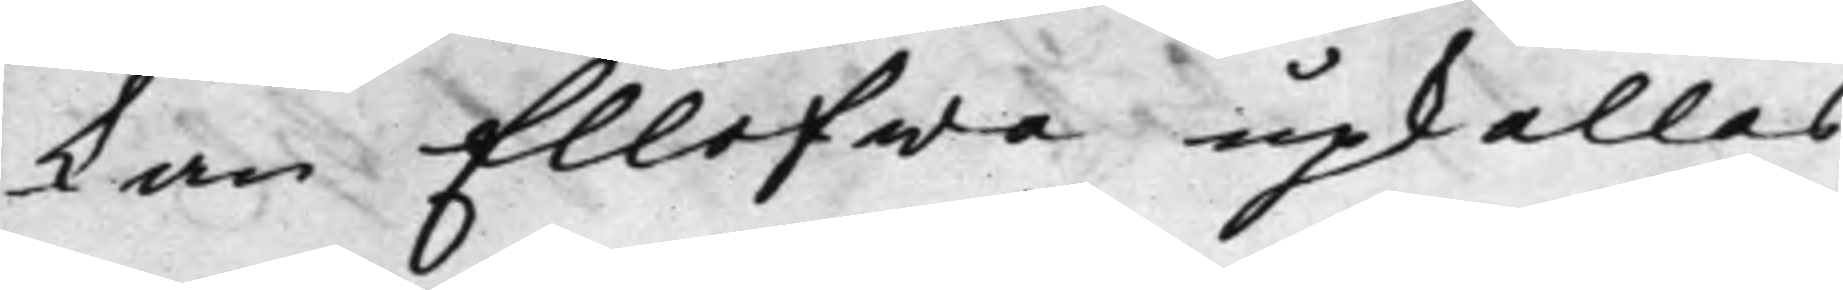kan Ellefwa upkallas
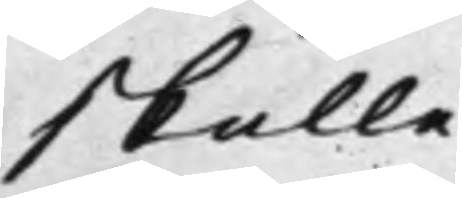skulle.
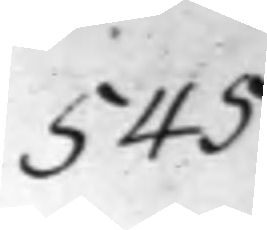545
